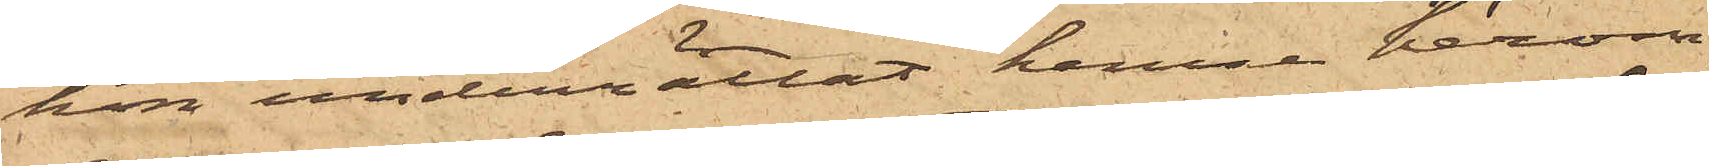hon underrättat henne härom,
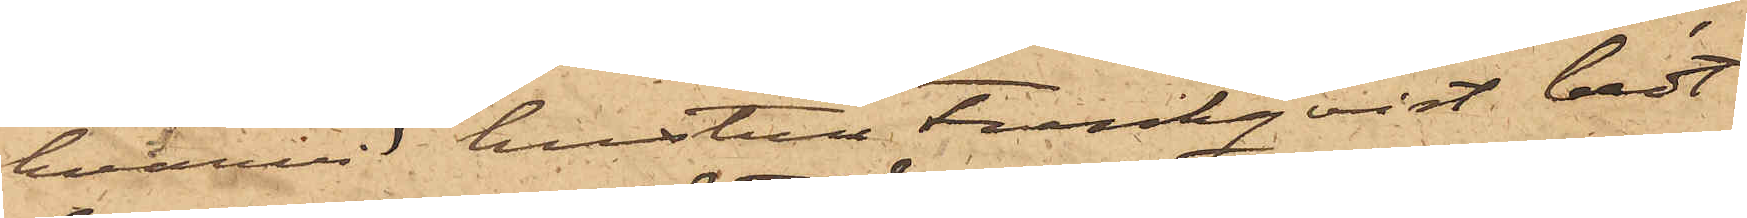hvarvid hustru Funkqvist bedt
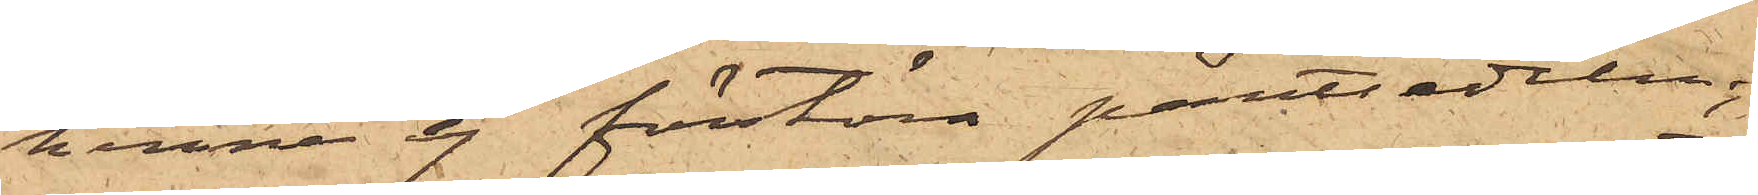henne ej förstöra pantsedeln
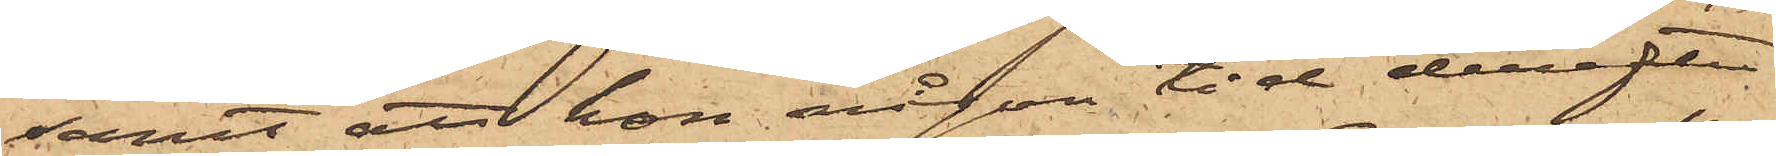samt att hon någon tid derefter
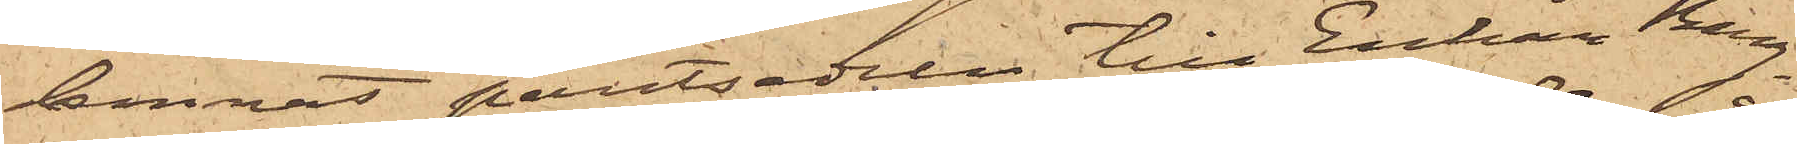lemnat pantsedeln till Enkan Berg¬
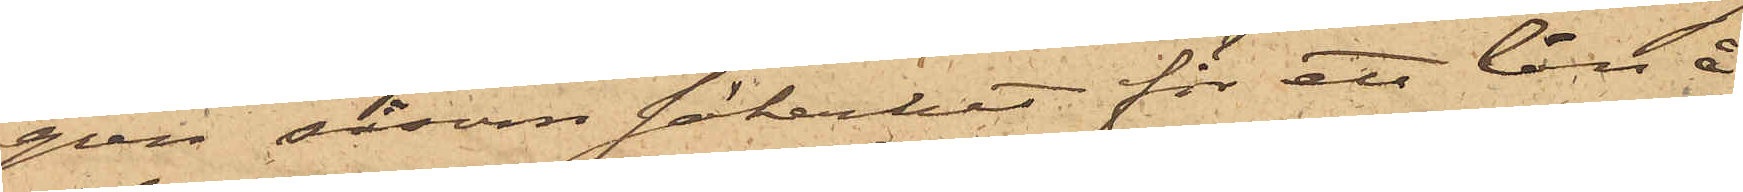gren såsom säkerhet för ett lån å
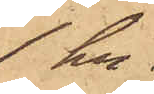1 kr.
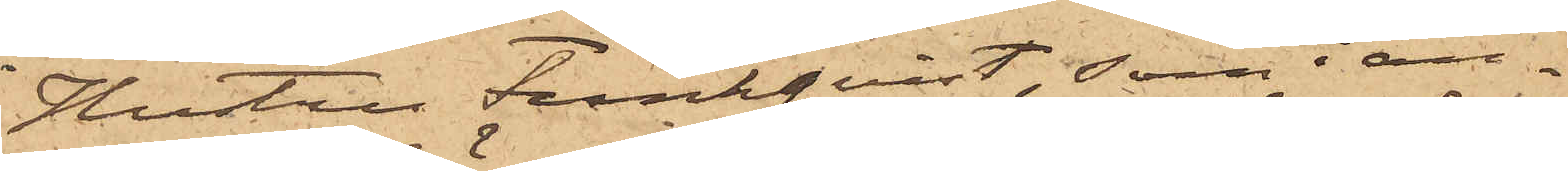Hustru Funkqvist, som i an¬
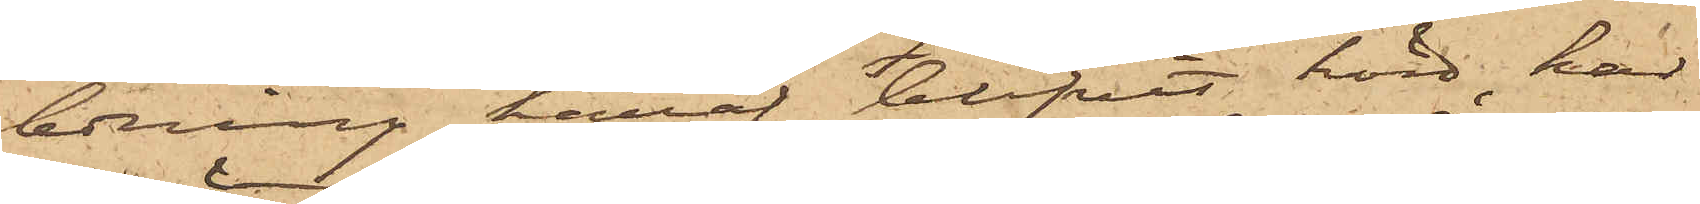ledning häraf blifvit hörd, har
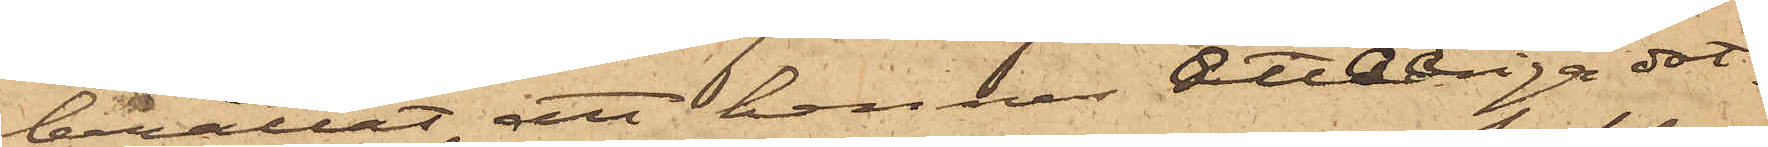berättat, att hennes åttaåriga dot¬
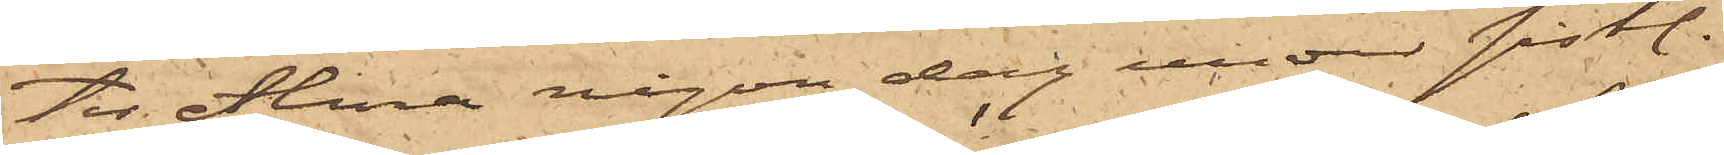ter Alina någon dag under sist.
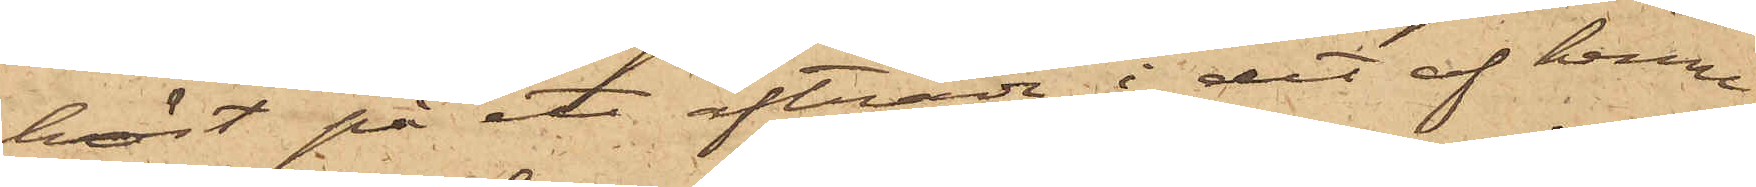höst på ett afträde i det af henne
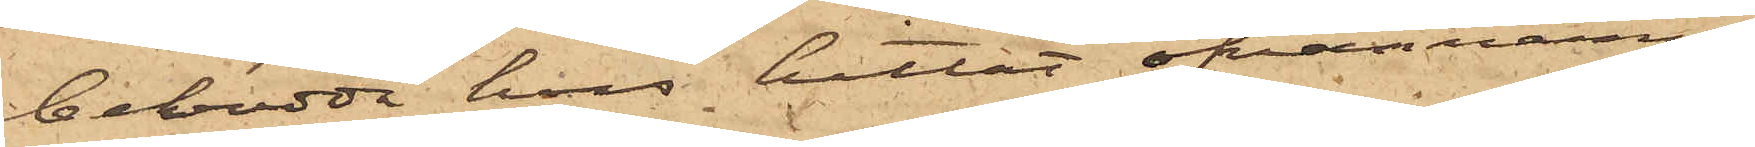bebodda hus hittat ofvannämn¬
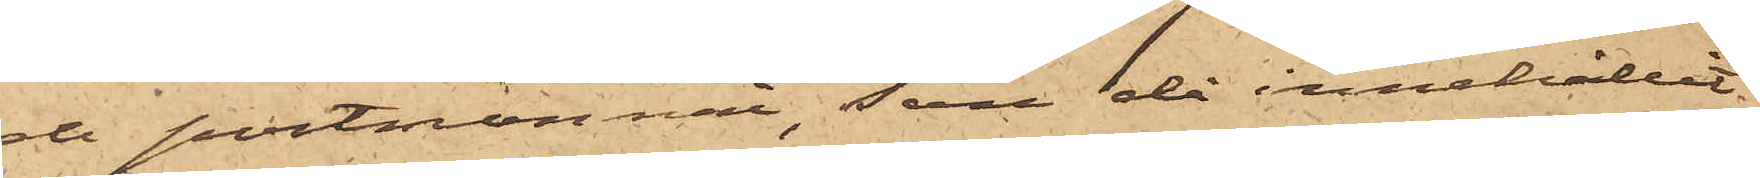de portmonnaie, som då innehållit
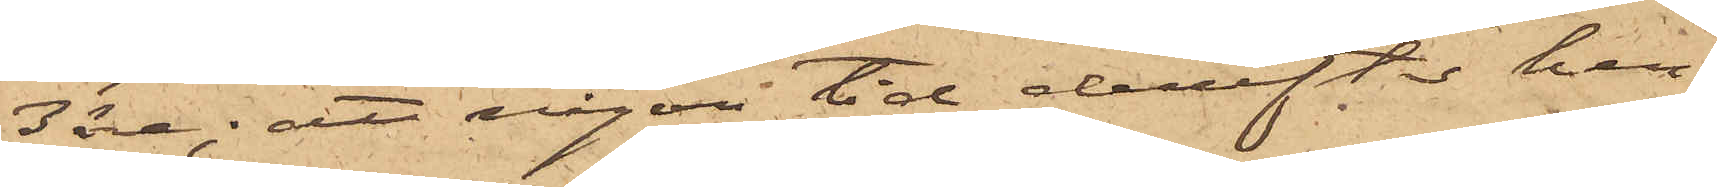3 öre; att någon tid derefter hen¬
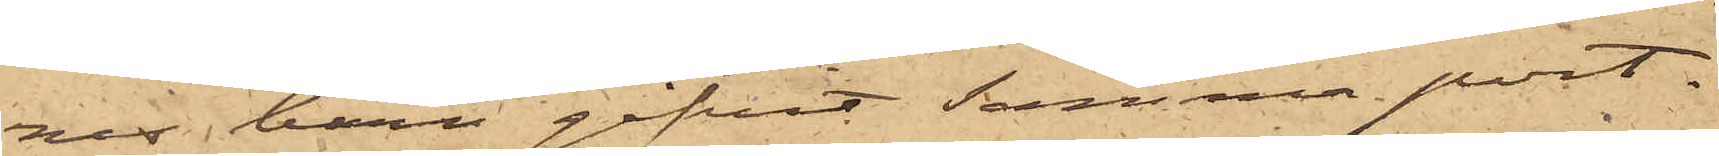nes barn gifvit samma port¬
